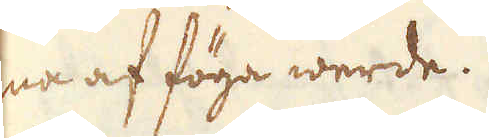ma af föga werde.
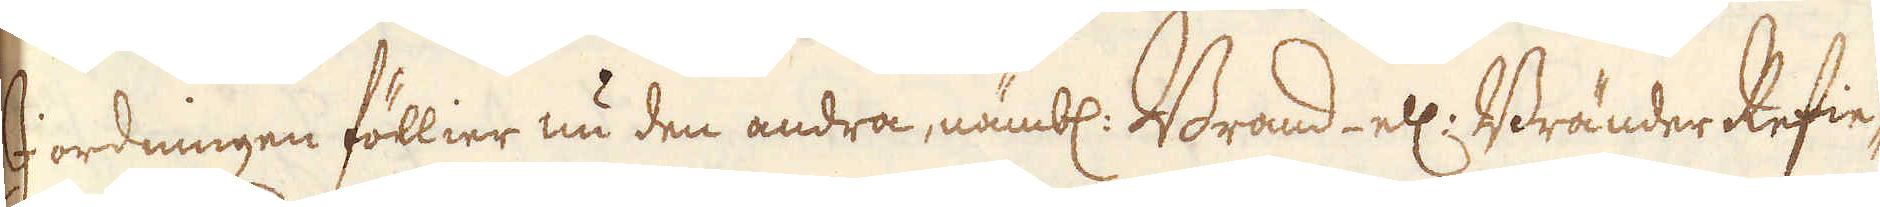I ordningen föllier nu den andra, nämbl. Brand ell: Bränder Refie-
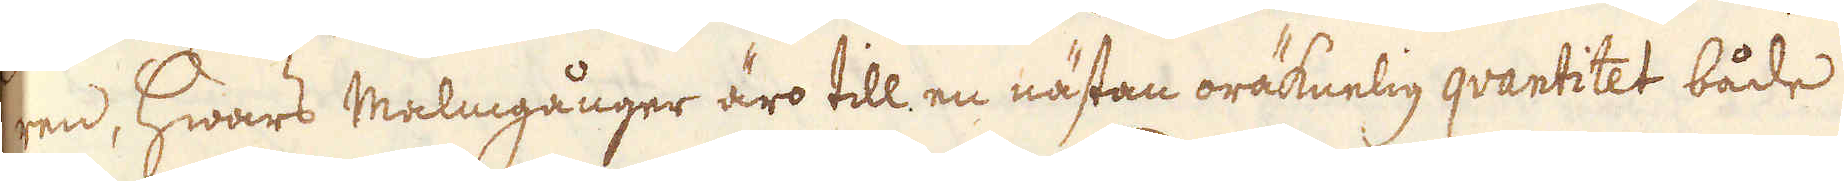ren, hwars Malmgånger äro till en nästan oräknelig qvantitet bådeS
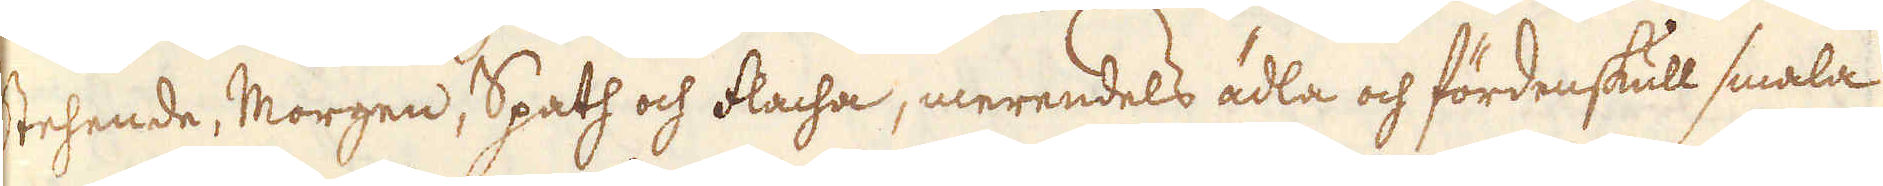Stehende, Morgen, Spath och flacha, merendels ädla och fördenskull smala
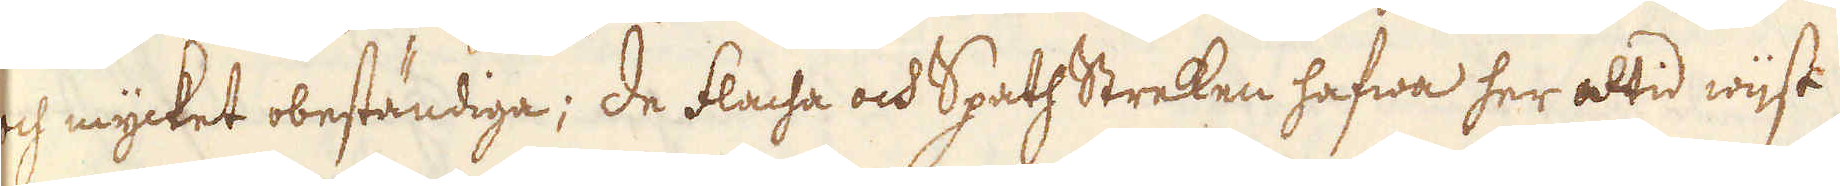och mycket obeständiga; de flacha och SpathStreken hafwa her altid wist
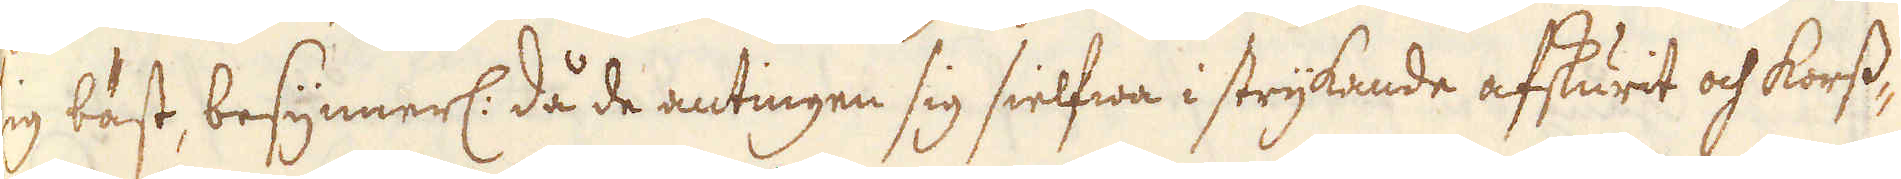sig bäst, besynnerl: då de antingen sig sielfwa i strykande afskurit och korst-
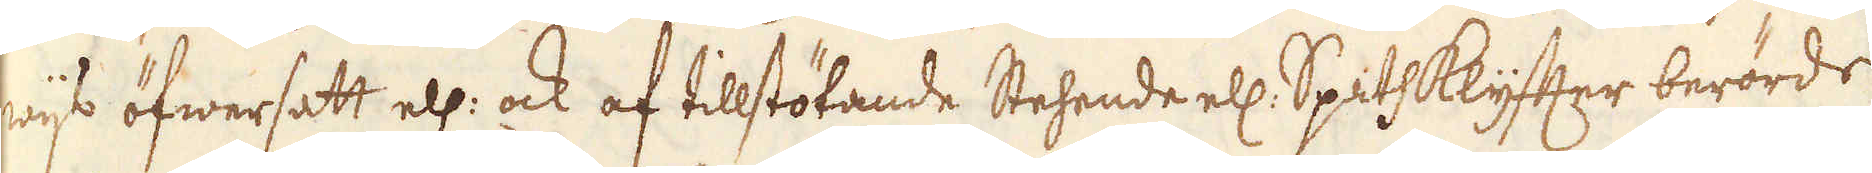wijs öfwersatt ell: ock af tillstötande Stehende ell: Spathklyfter berörde
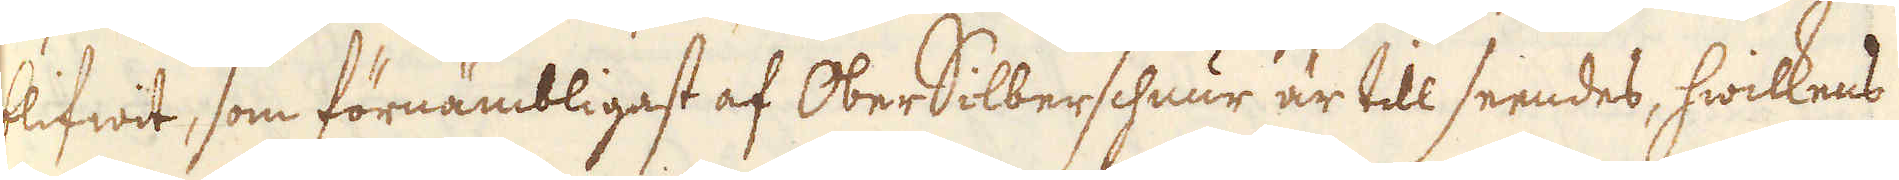blifwit, som förnämbligast af OberSilberschnur är till seendes, hwilkens
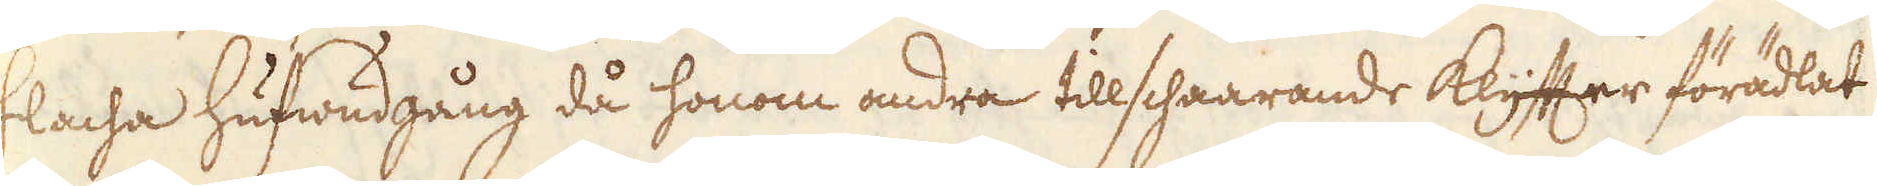flacha hufwudgång då honom andra tillschaarande klyfter förädlat
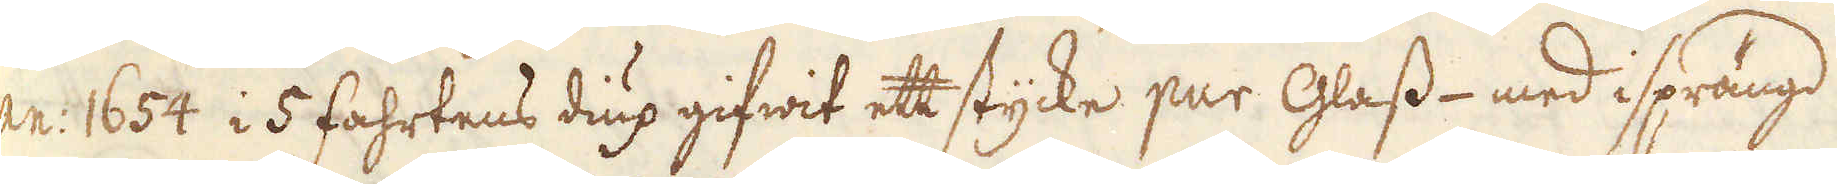An: 1654 i 5 fahrtens diup gifwit ett stycke pur Glass- med isprängd
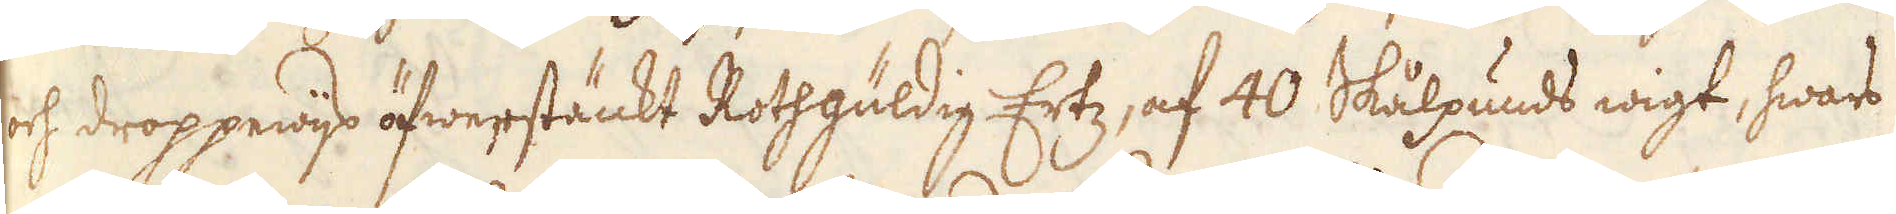och droppewijs öfwerstänkt Rothgüldig Ertz, af 40 Skålpunds wigt hwars
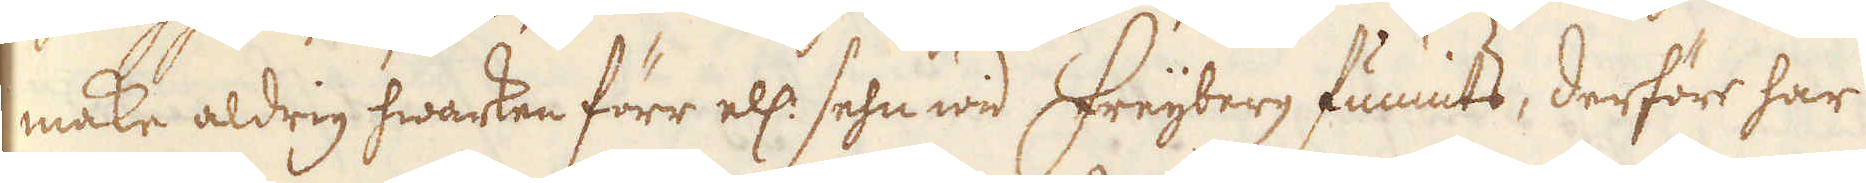make aldrig hwarken förr ell: sehn wid Freijberg funnits, derföre har
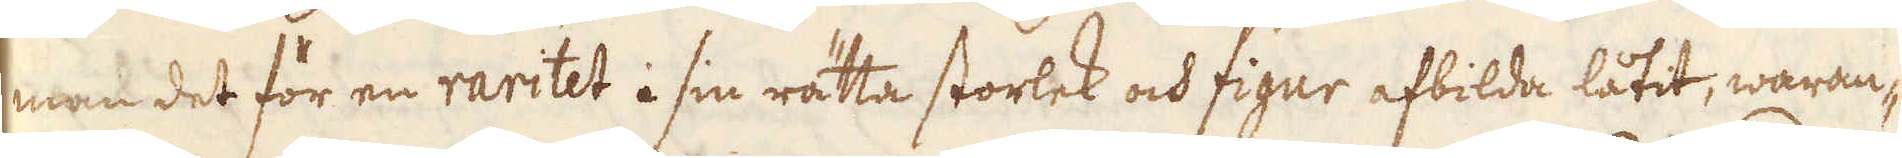man det för en raritet i sin rätta storlek och figur afbilda låtit, waran-
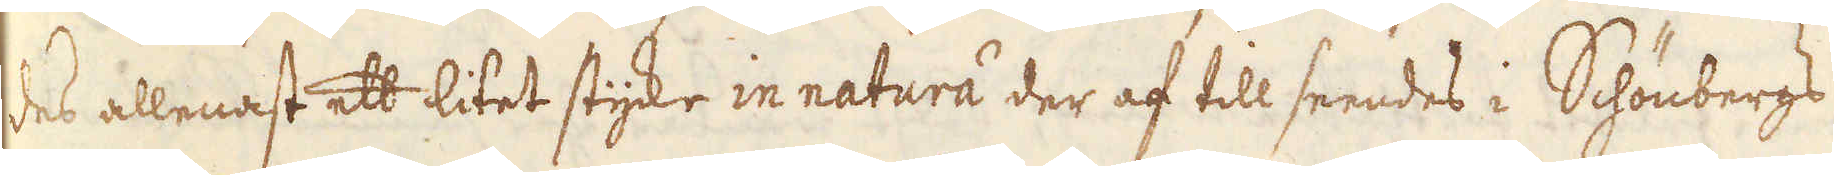des allenast ett litet styke in natura der af till seendes i Schönbergs
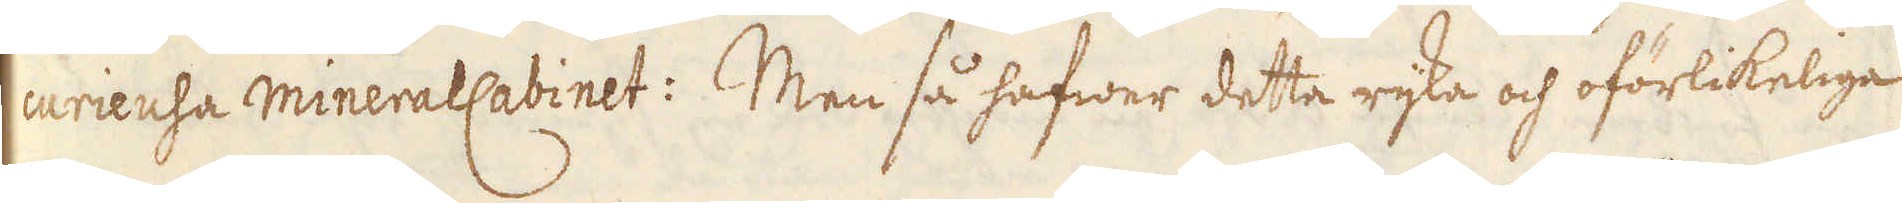curieusa mineralCabinet: Men så hafwer detta rijka och oförlikeliga
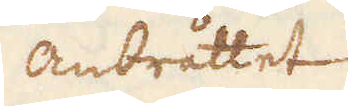Anbråttet
